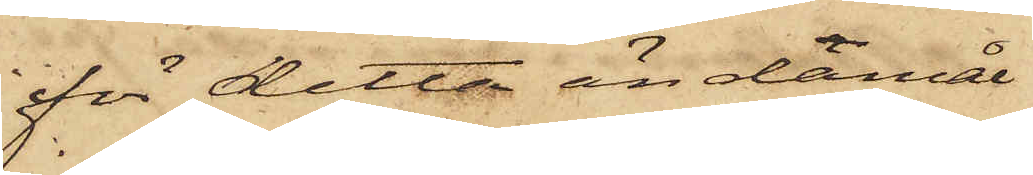för detta ändamål
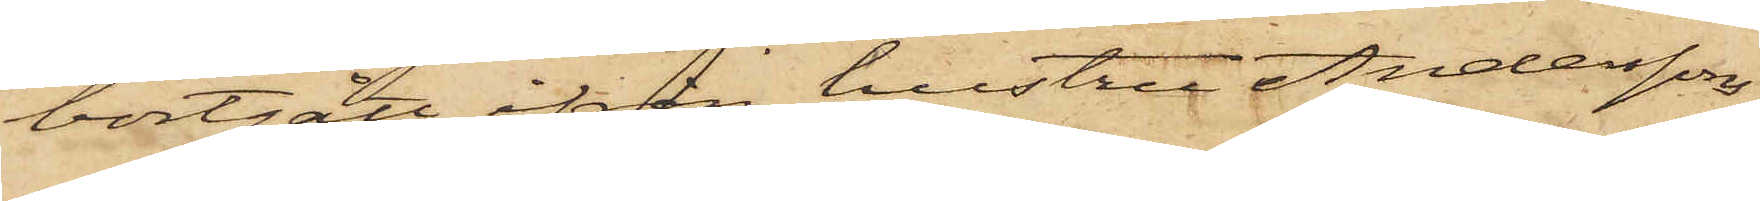bortgått ifrån hustru Anderssons
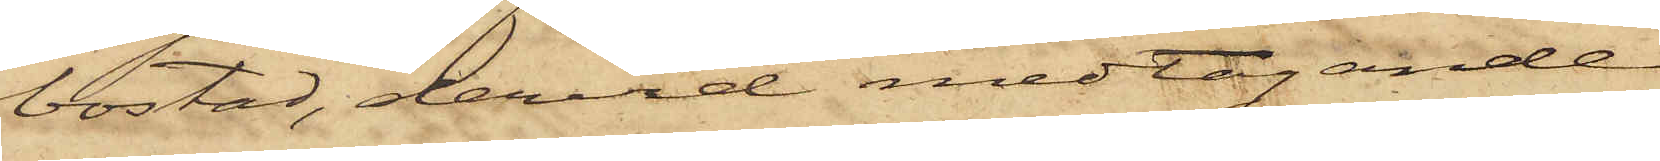bostad, dervid medtagande
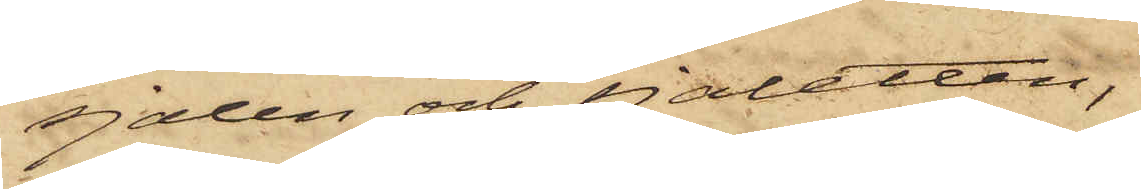sjalen och sjaletten,
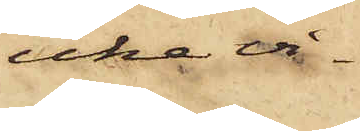icke vi¬
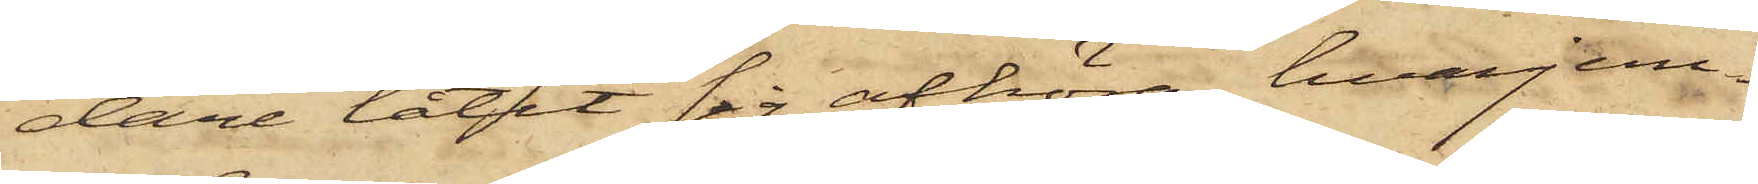dare låtit sig afhöra, hvarjem¬
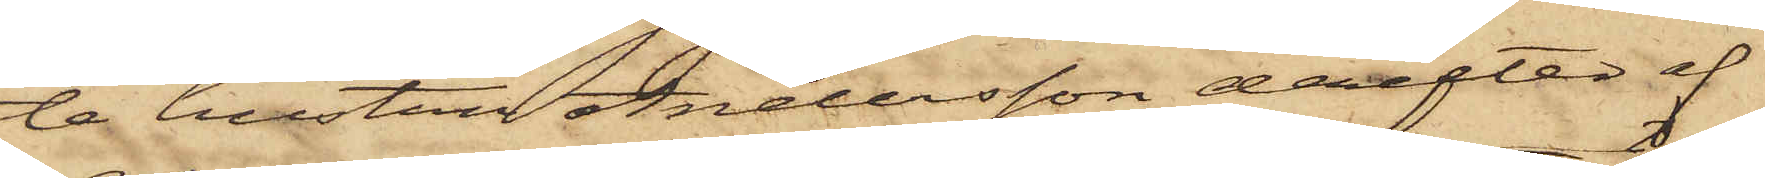te hustru Andersson derefter af
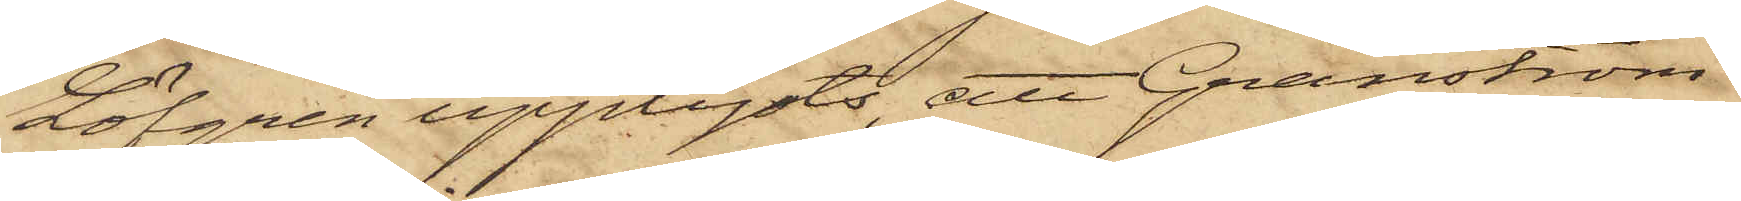Löfgren upplysts, att Granström
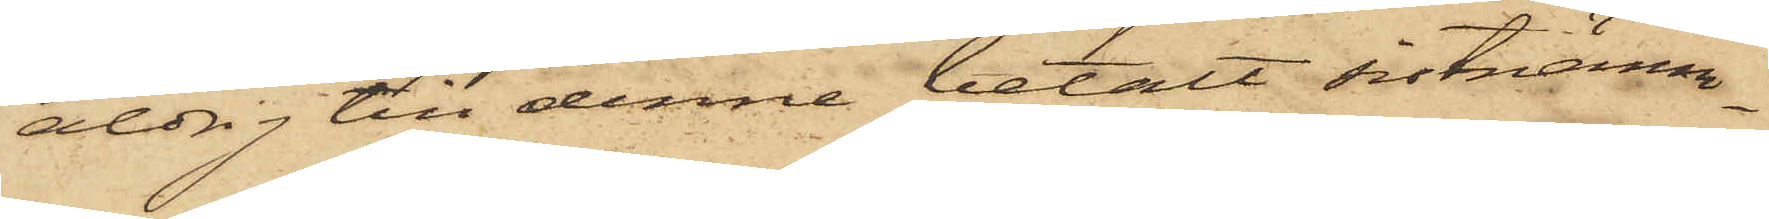aldrig till denne betalt sistnämn¬
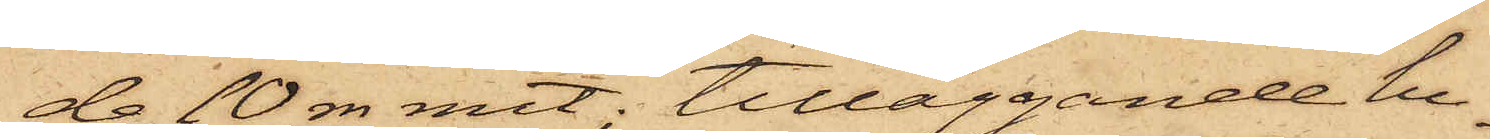de 10 rdr rmt; tilläggande hu¬
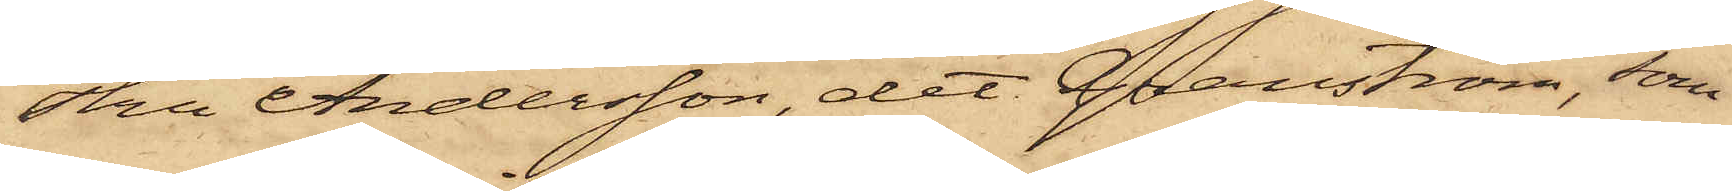stru Andersson, det Granström, som
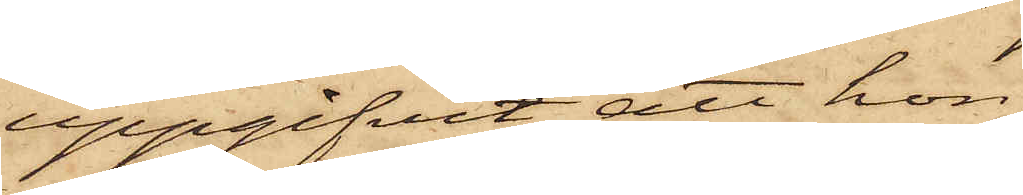uppgifvit, att hon
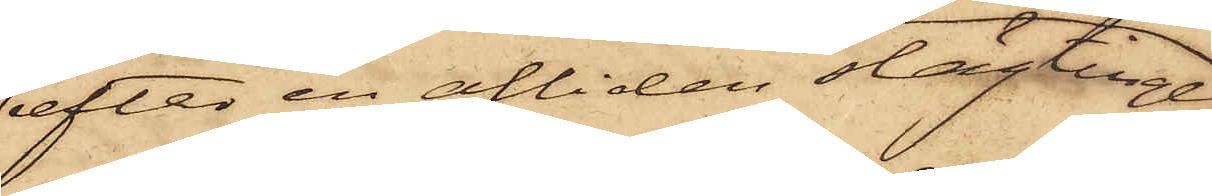efter en afliden slägtinge,
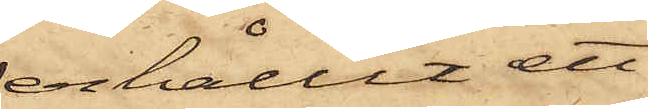erhållit ett
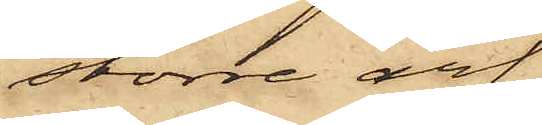större arf,
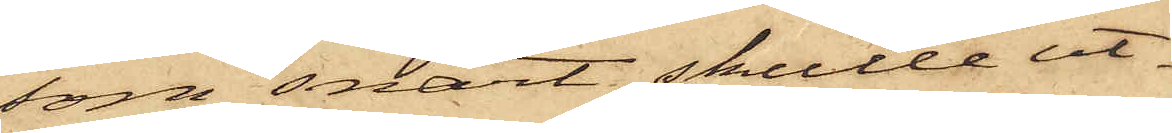som snart skulle ut¬
